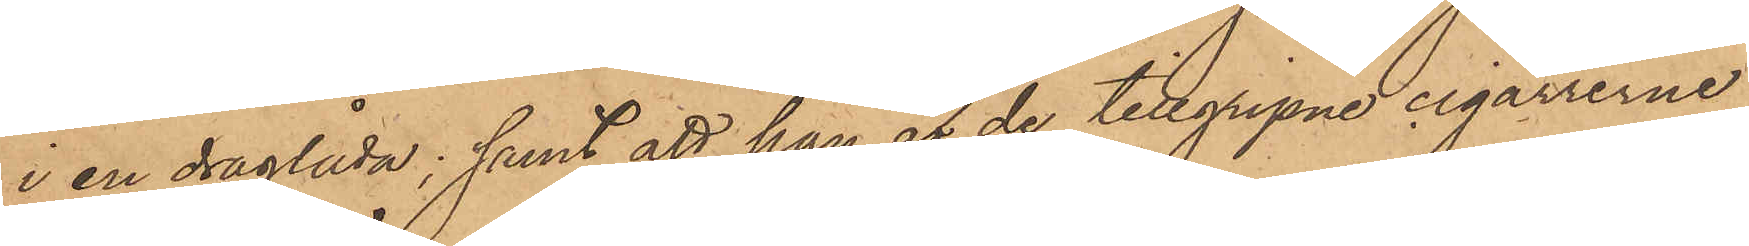i en draglåda; samt att han af de tillgripne cigarrerne
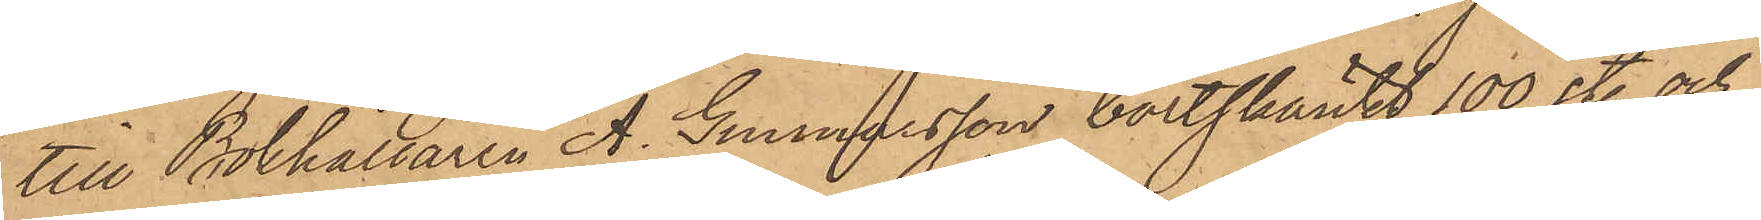till Bokhållaren A. Gunnarsson bortskänkt 100 st. och
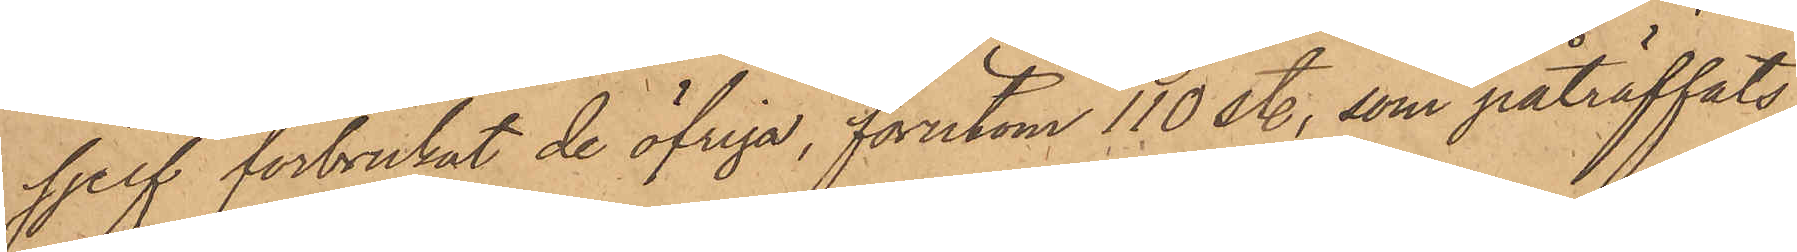sjelf förbrukat de öfriga, förutom 110 st., som påträffats
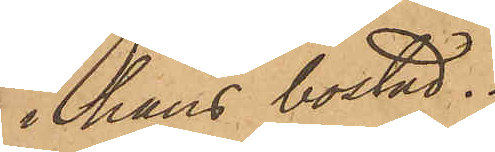hans bostad.
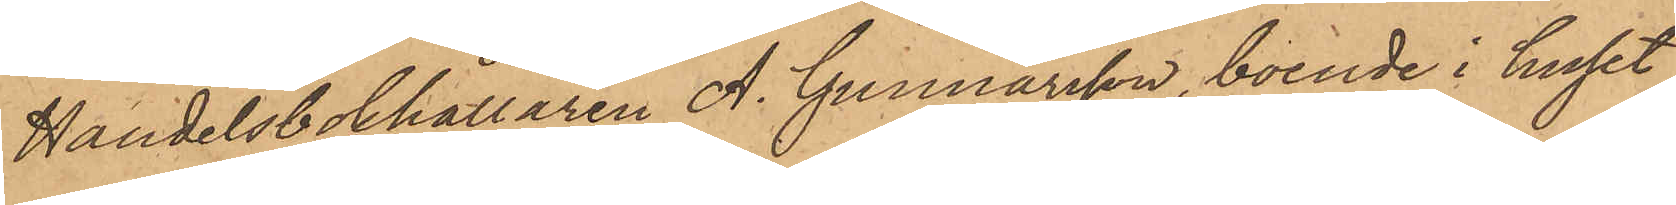Handelsbokhållaren A. Gunnarsson, boende i huset
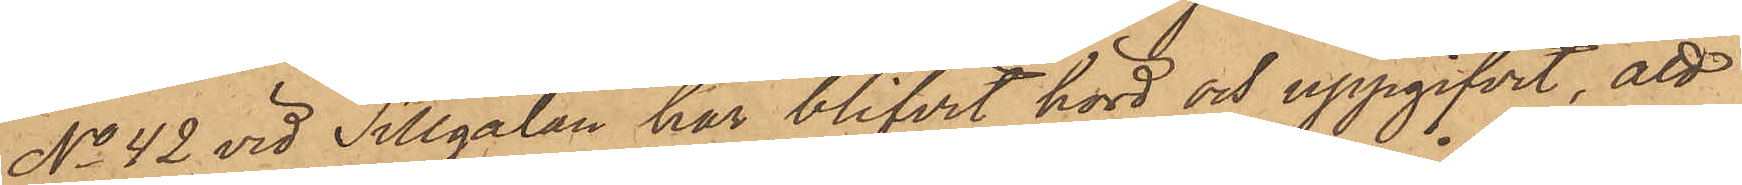No 42 vid Sillgatan har blifvit hörd och uppgifvit, att
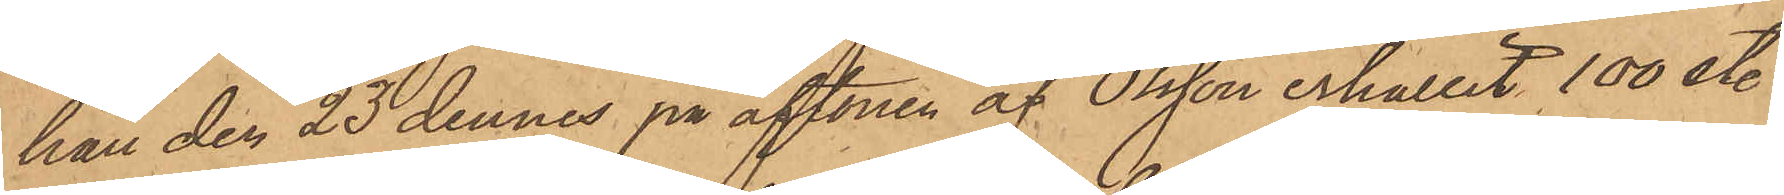han den 23 dennes på aftonen af Olsson erhållit 100 st.
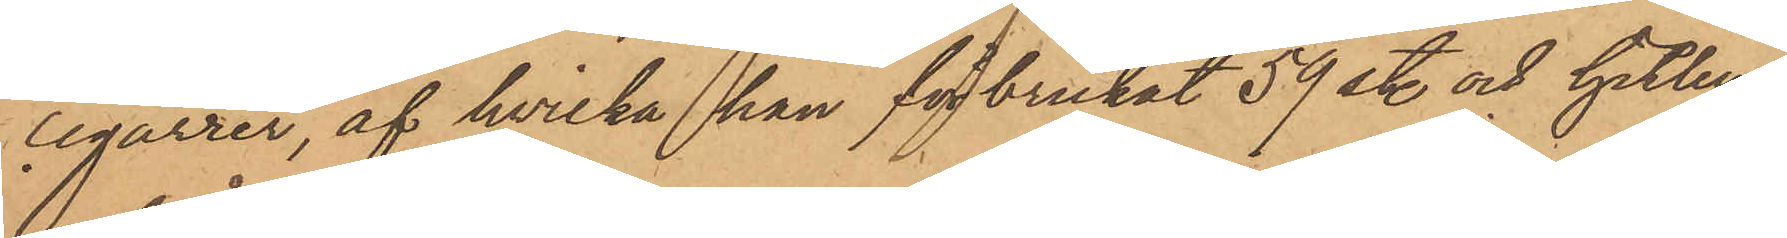cigarrer, af hvilka han för brukat 59 st. och hitlem¬
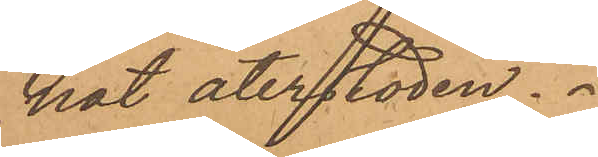nat återstoden.
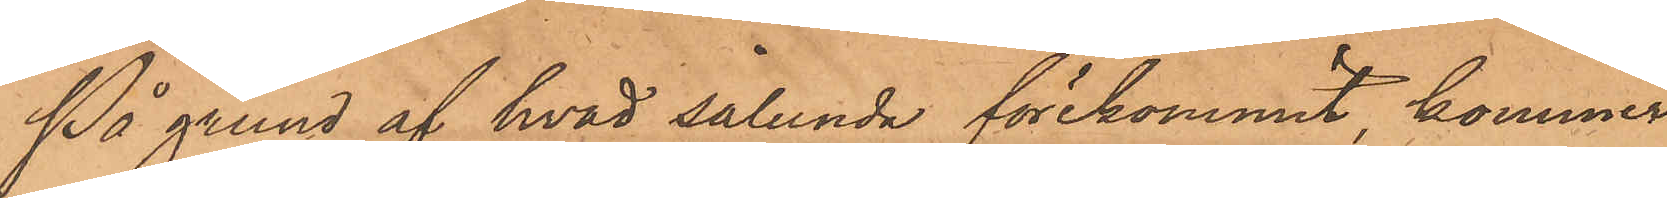På grund af hvad sålunda förekommit, kommer
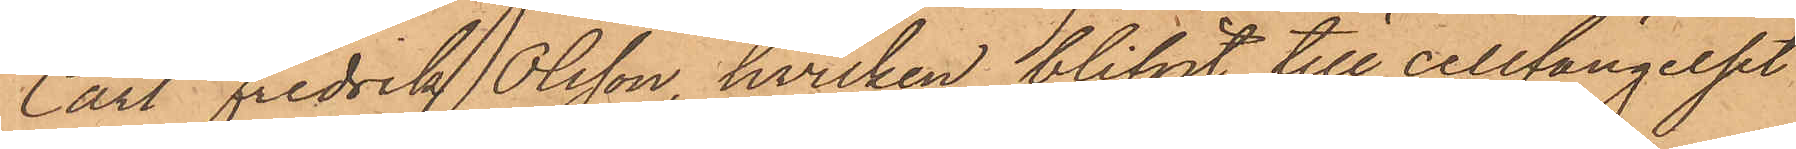Carl Fredrik Olsson, hvilken blifvit till cellfängelset
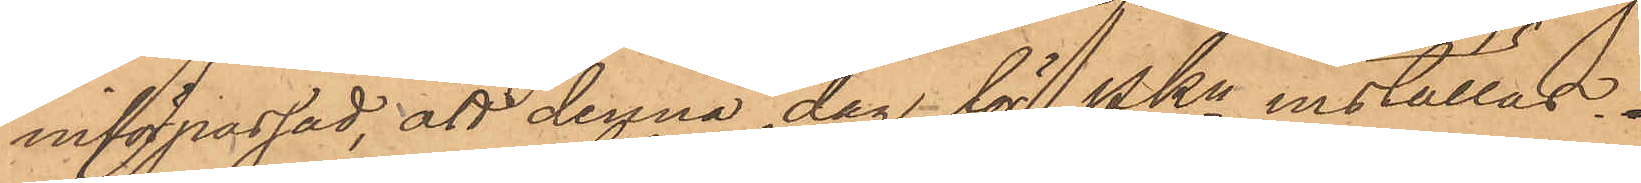införpassad, att denna dag för PKn inställas.
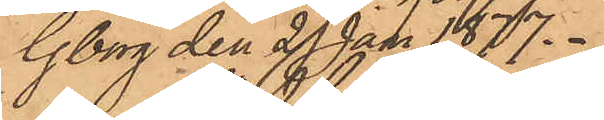Gborg den 29 Juni 1877.
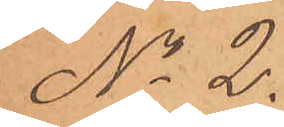No 2.
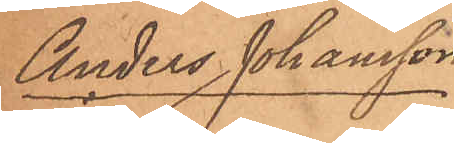Anders Johansson
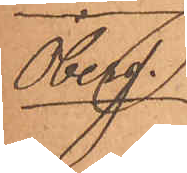Öberg.
